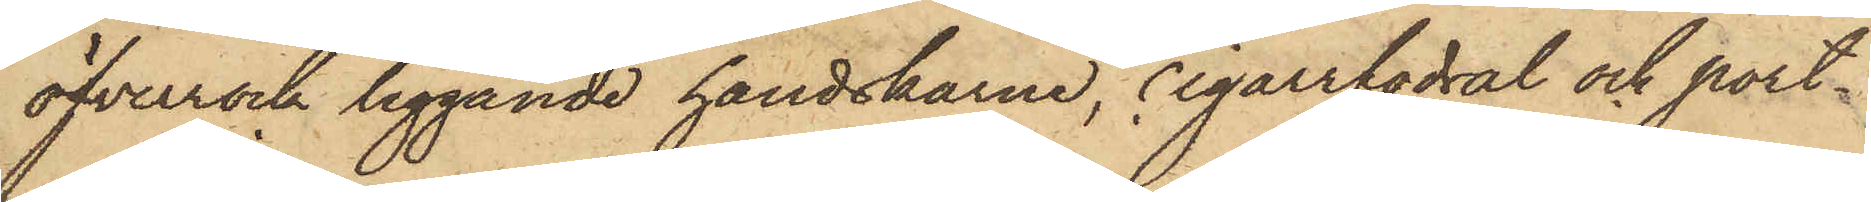öfverrock liggande handskarne, cigarrfodral och port¬
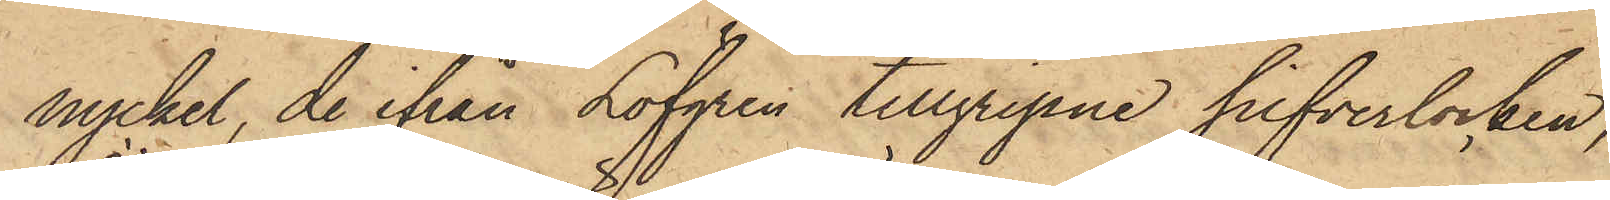nyckel, de ifrån Löfgren tillgripne silfverlocken
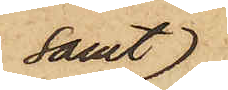samt
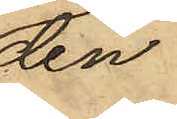den
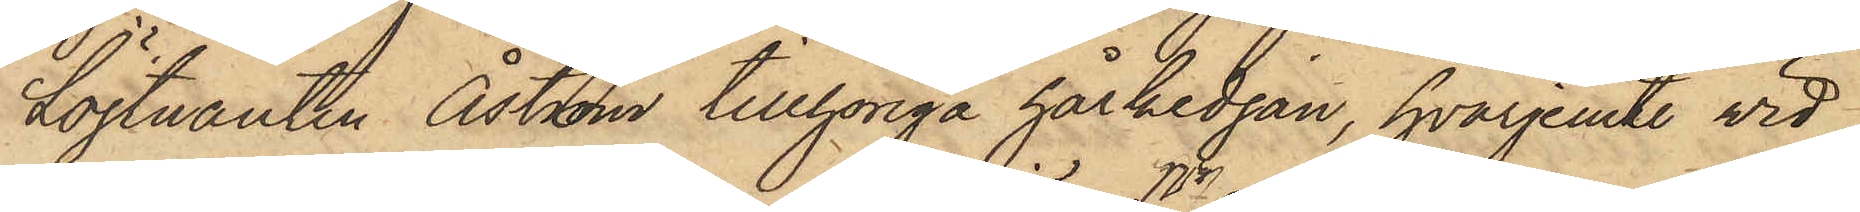Löjtnanten Åström tillhöriga hårkedjan, hvarjemte vid
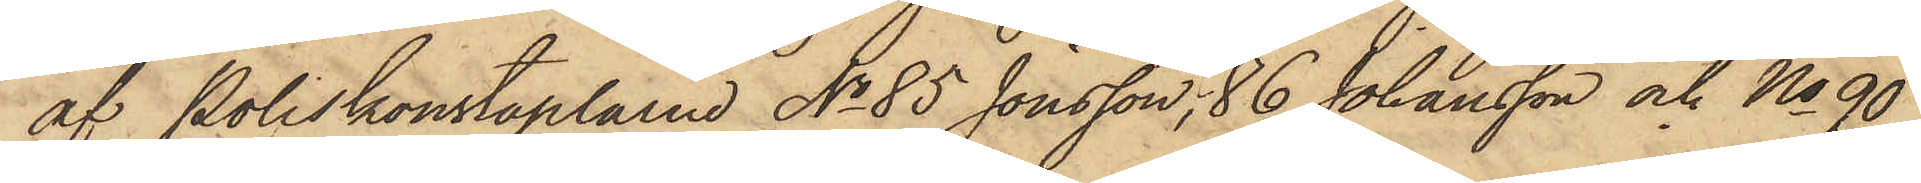af Poliskonstaplarne No 85 Jonsson, No 86 Johansson och No 90
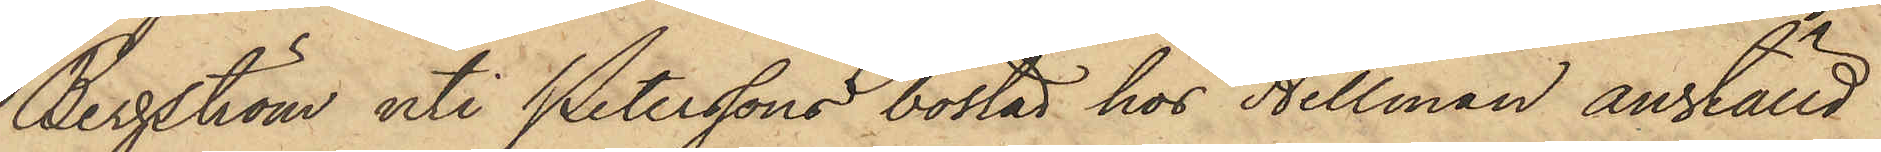Bergström uti Peterssons bostad hos Hellman anställd
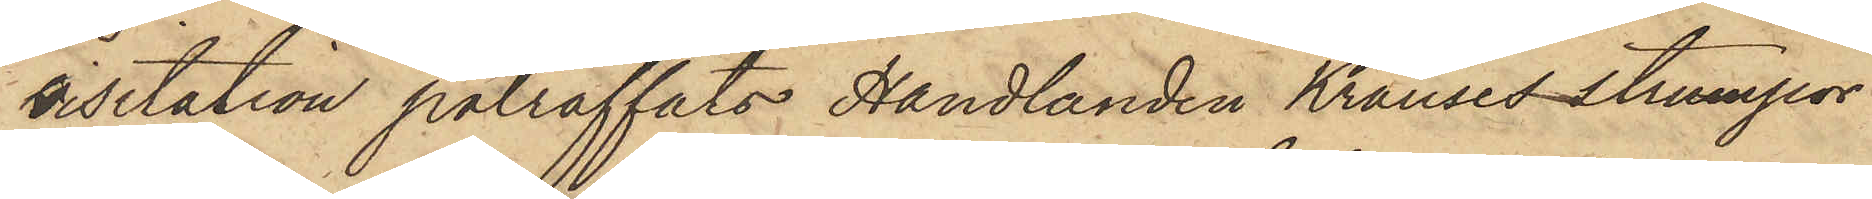visitation påträffats Handlanden Krauses strumpor
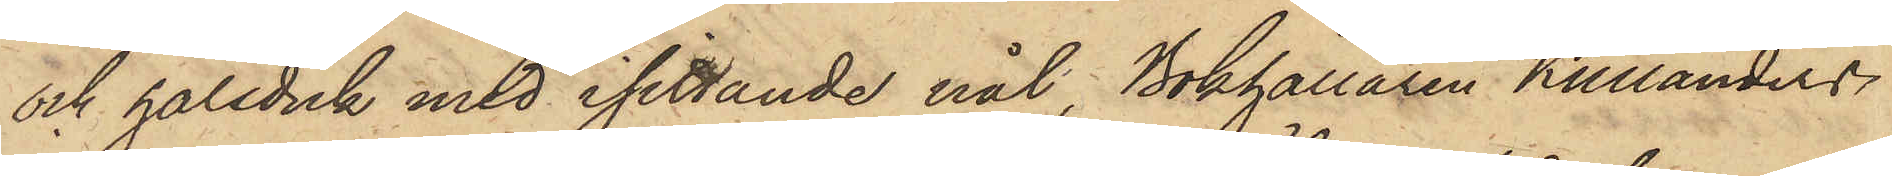och halsduk med isittande nål, Bokhållaren Kullanders
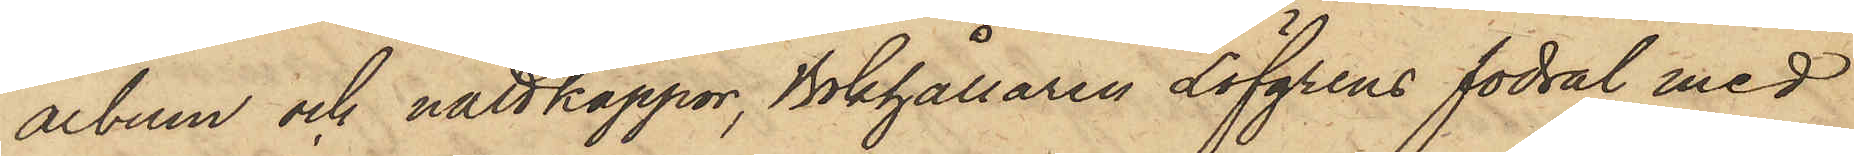album och nattkappor, Bokhållaren Löfgrens fodral med
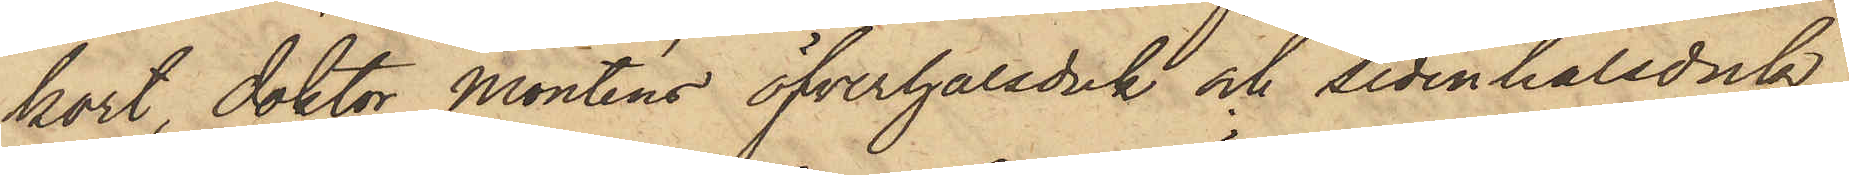kort, Doktor Monténs öfverhalsduk och sidenhalsduk,
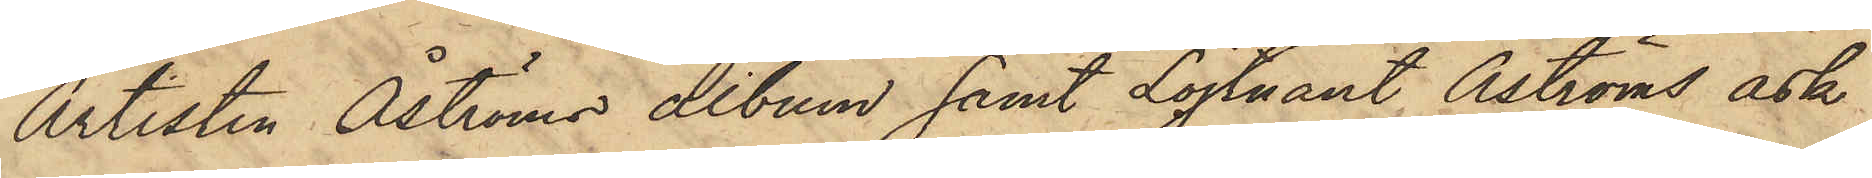Artisten Åströms album samt Löjtnant Åströms ask
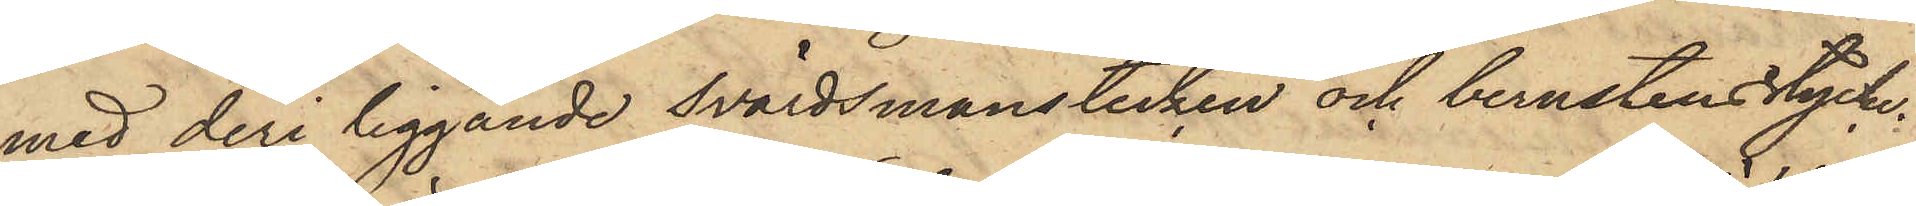med deri liggande svärdsmanstecken och bernstensstycke.
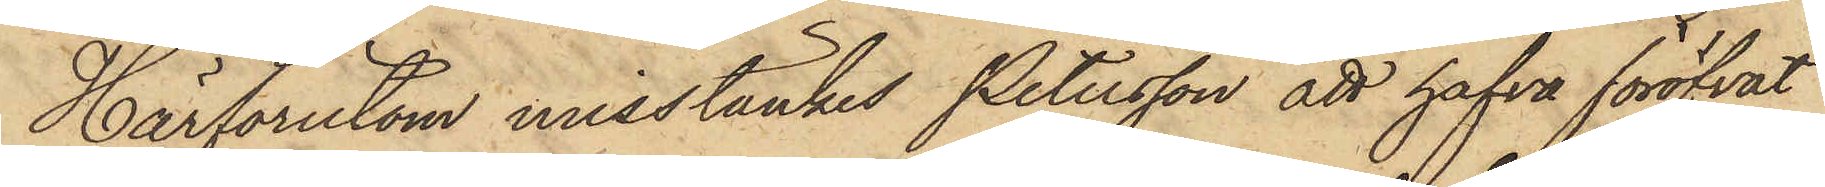Härförutom misstänkes Petersson att hafva föröfvat
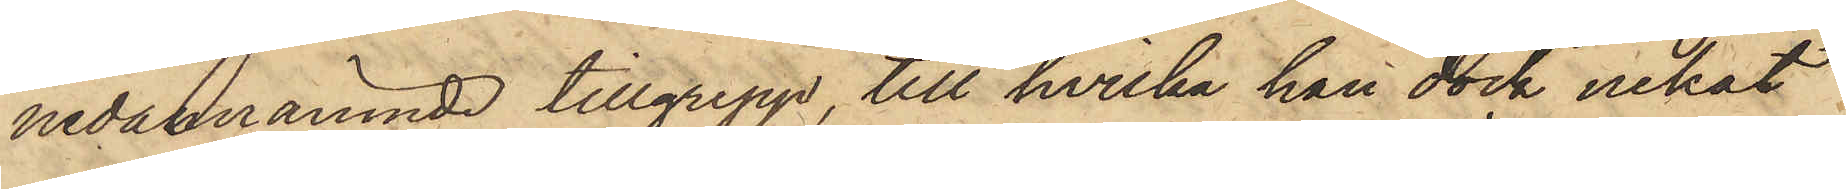nedannämnde tillgrepp, till hvilka han dock nekat
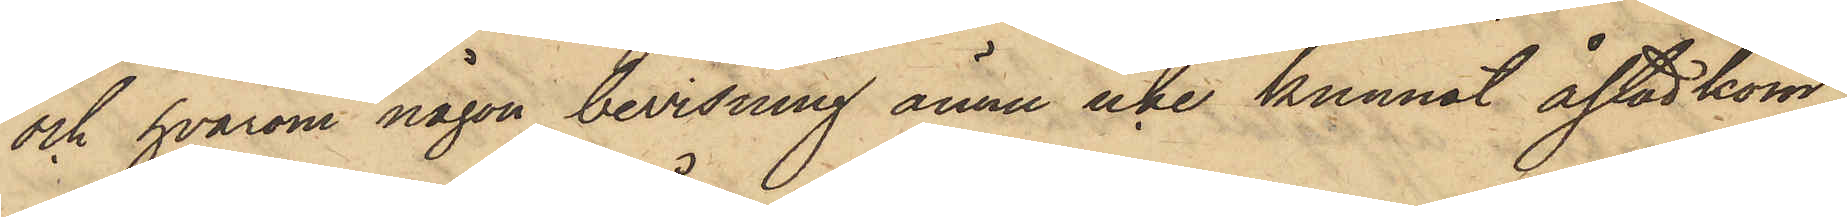och hvarom någon bevisning ännu icke kunnat åstadkom¬
